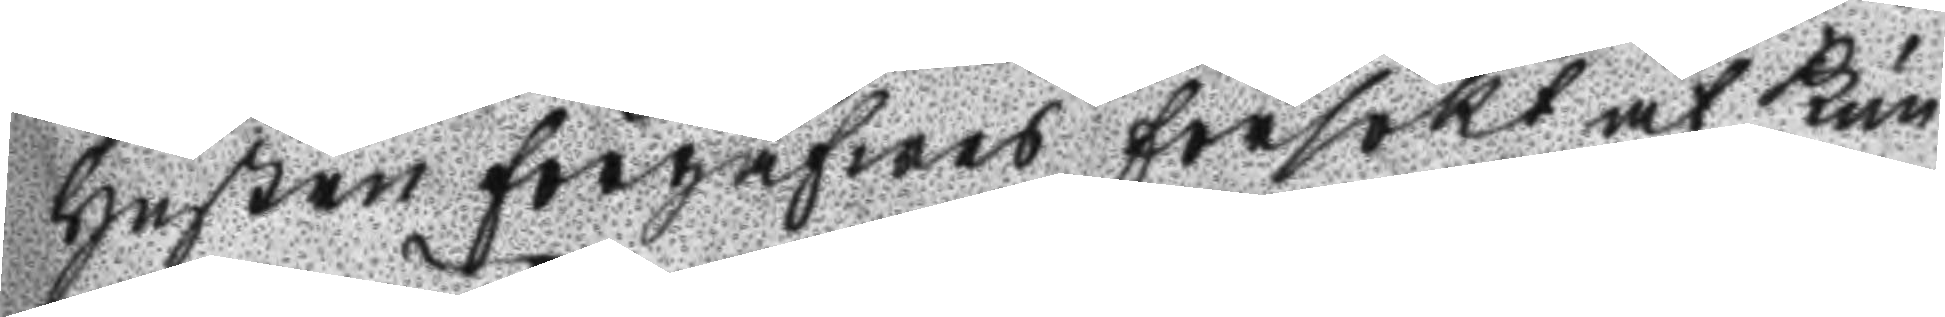hustru förgäfwes försökt at kun
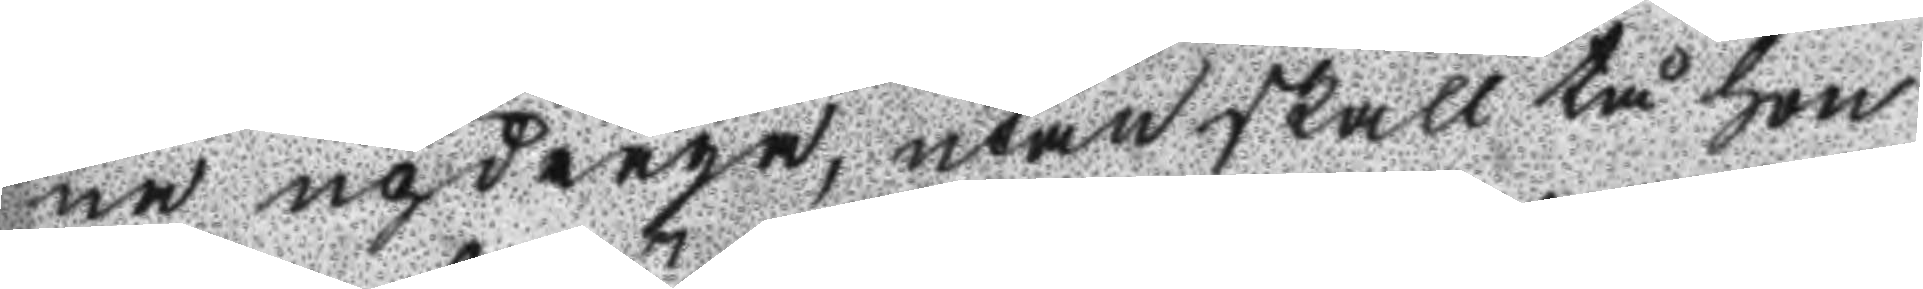na updraga, utan skall tå hon
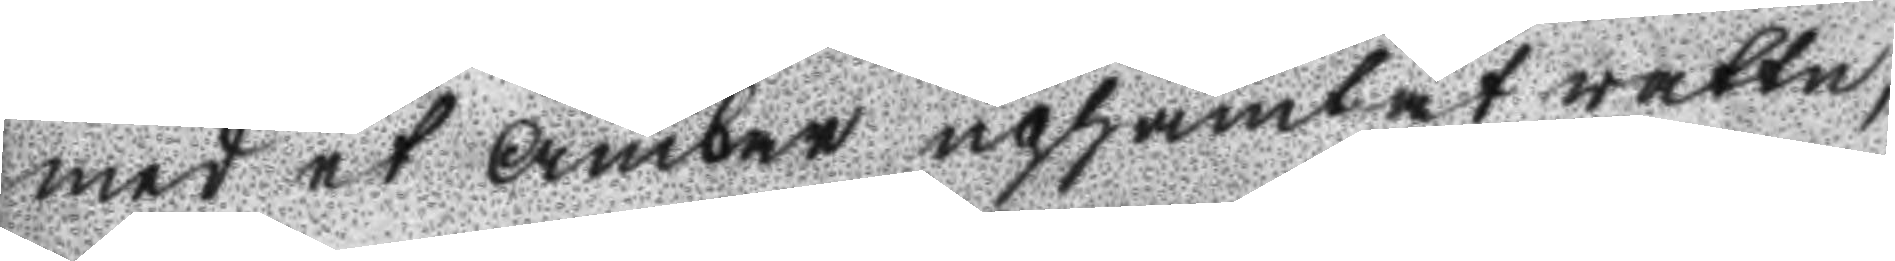med et Ämbar uphämtat wattn,
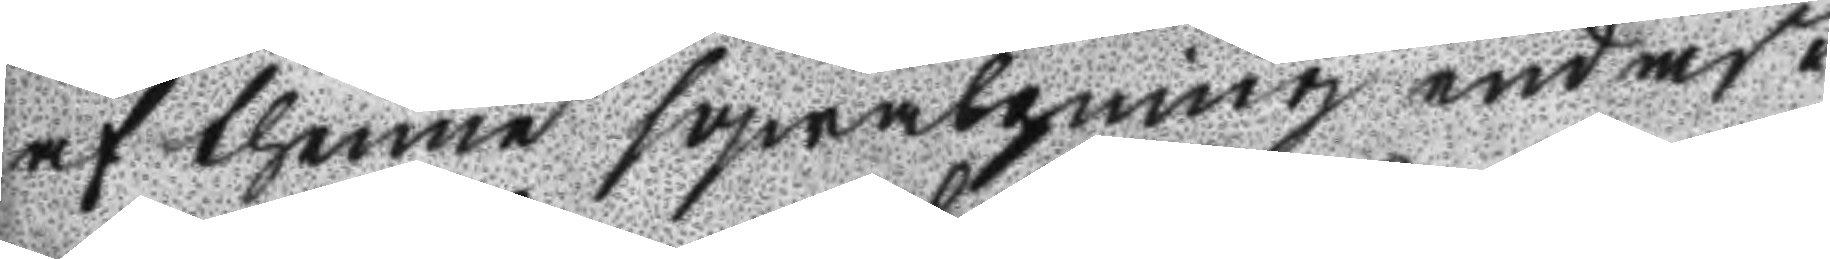af thenne sqwalpning af den döda
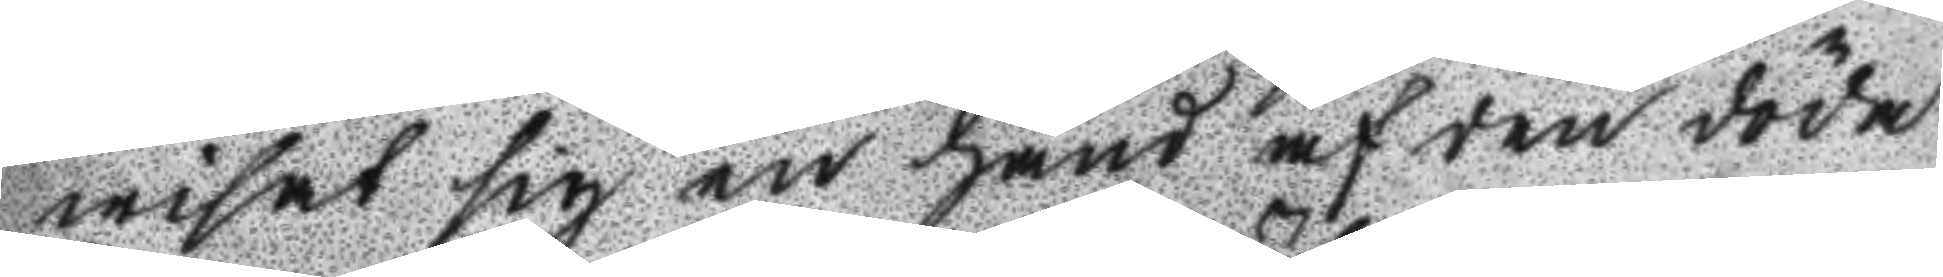wisat sig en hand af den döda
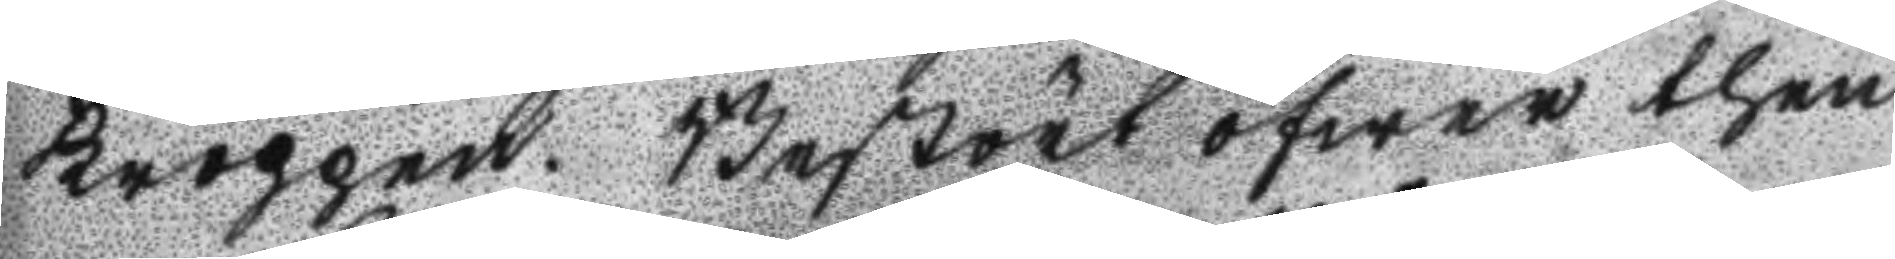kroppen. Bestört öfwer then
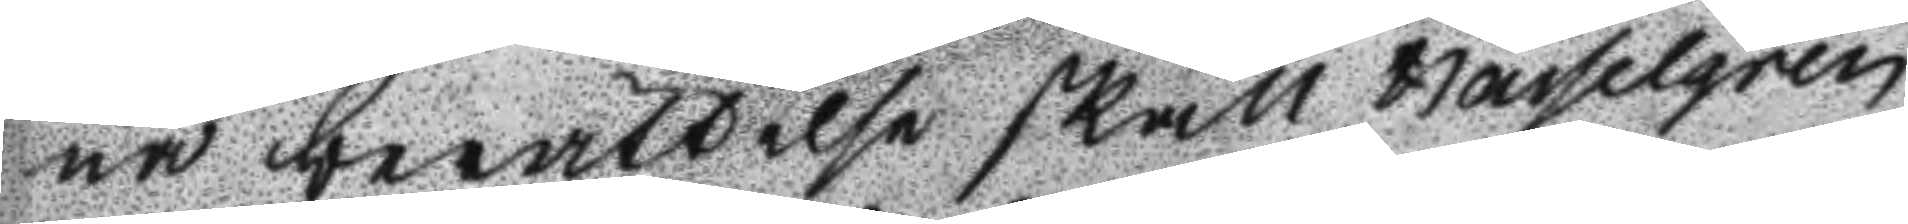na berättelse skall Hasselgren
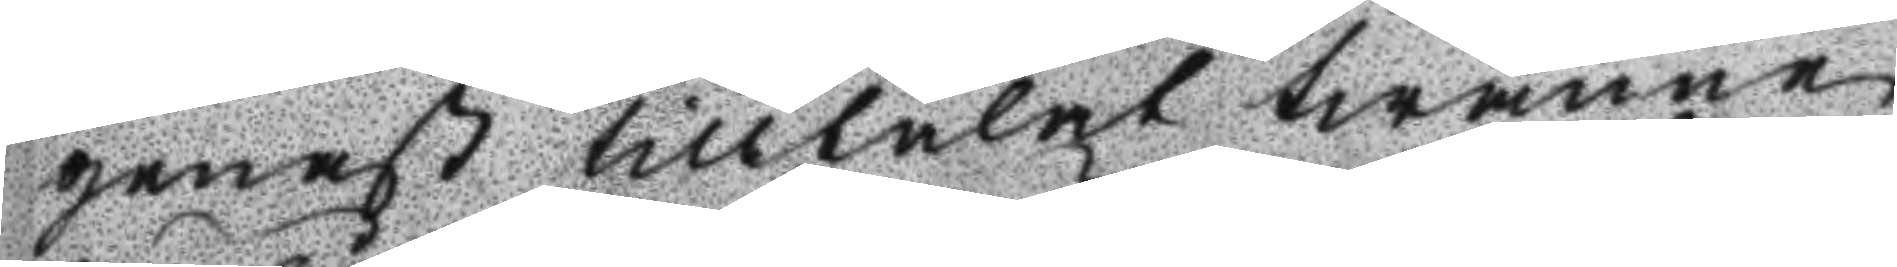genast tilltalat twänne
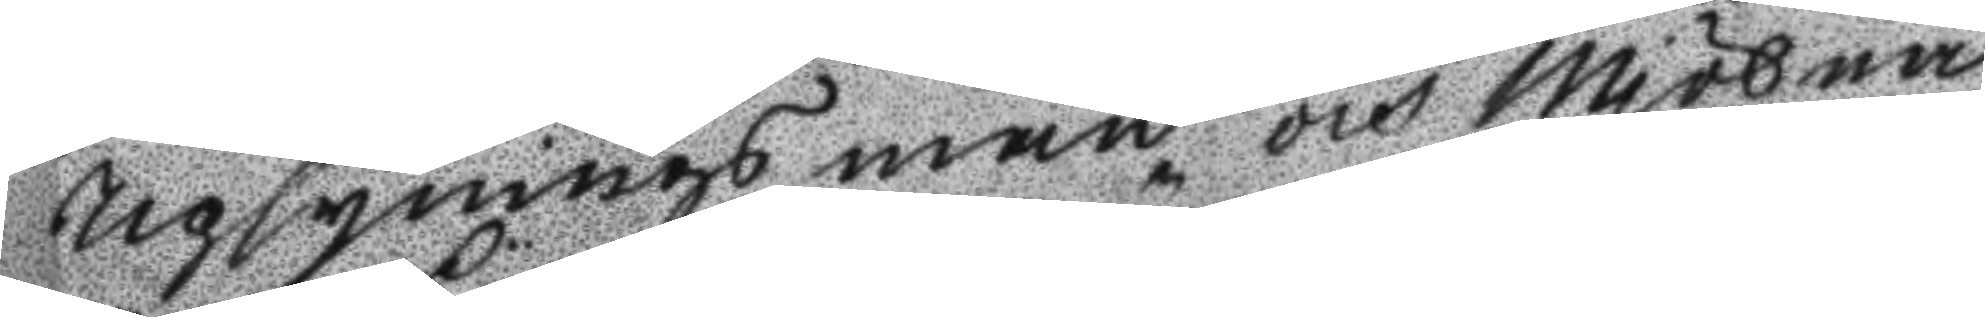Upsyningsmän och Mjölna
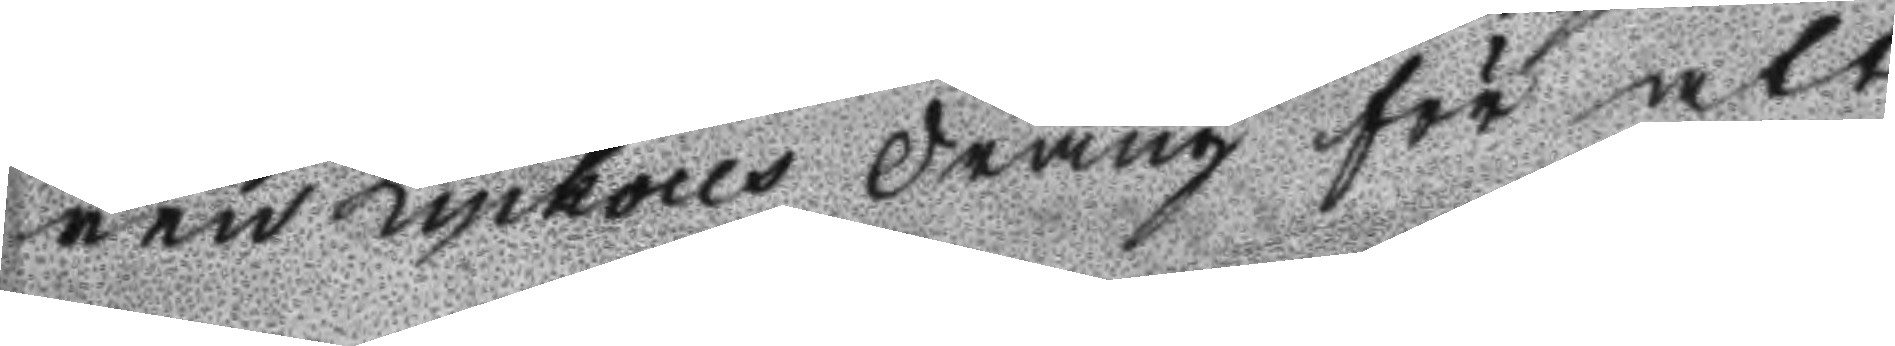ren Lyckous dräng för att
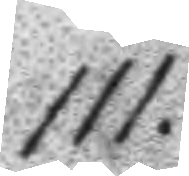111.
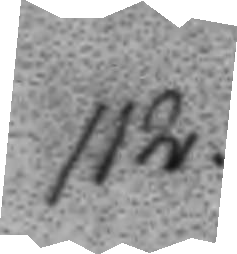112.
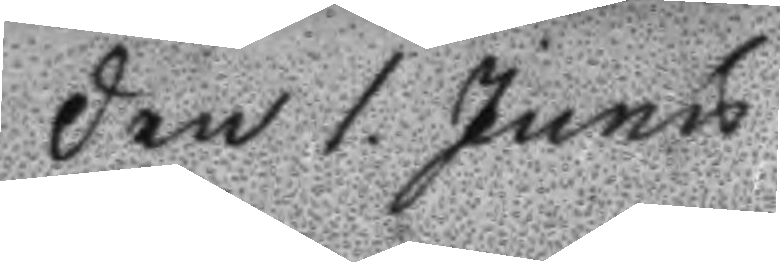Den 1. Junu
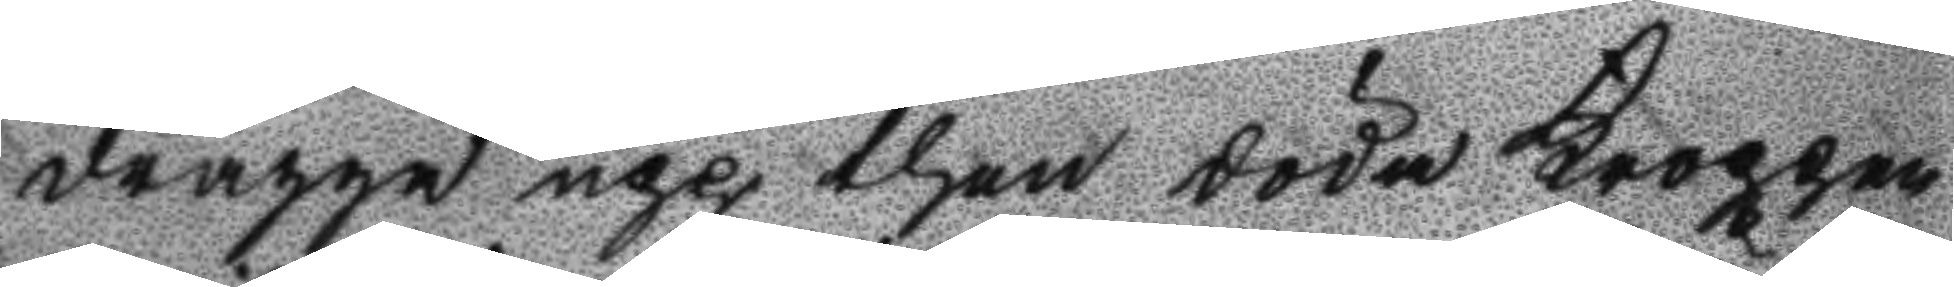dragga upp then döda Kroppen
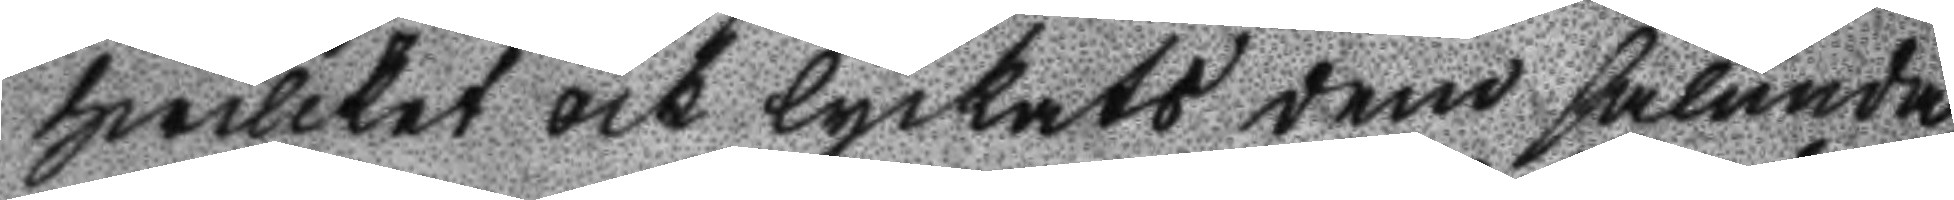hwilket och lyckats dem sålunda
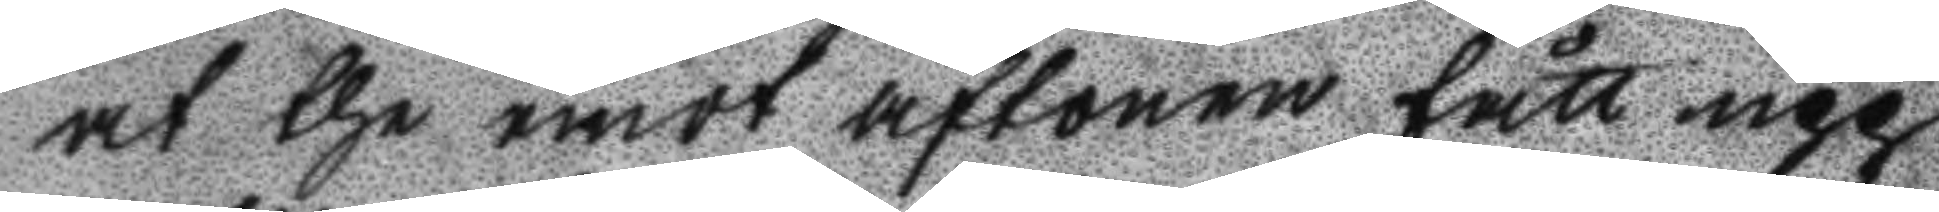at the emot aftonen fått upp
